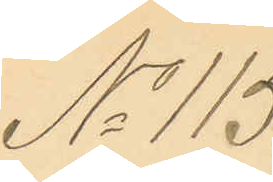No 115.
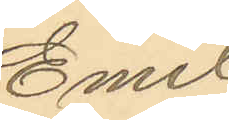Emil
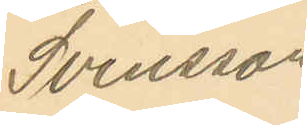Svensson
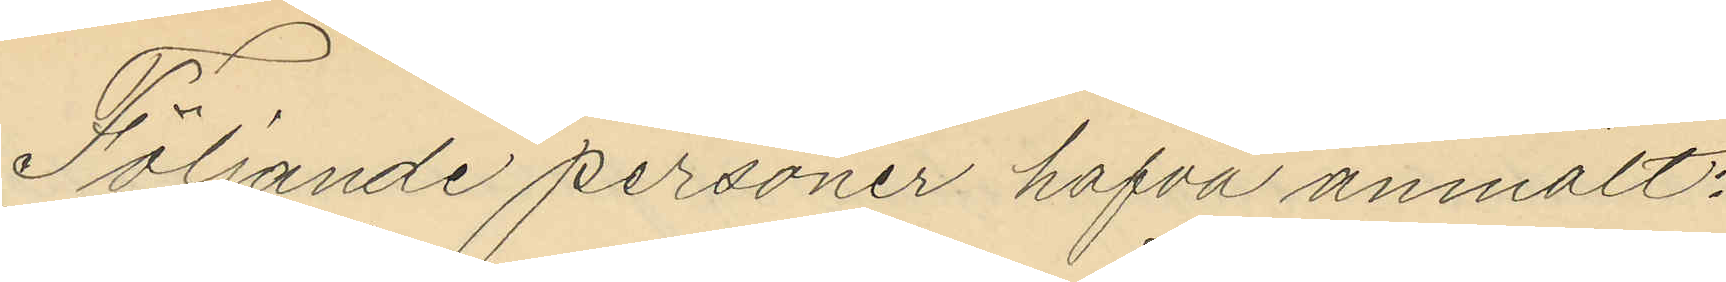Följande personer hafva anmält:
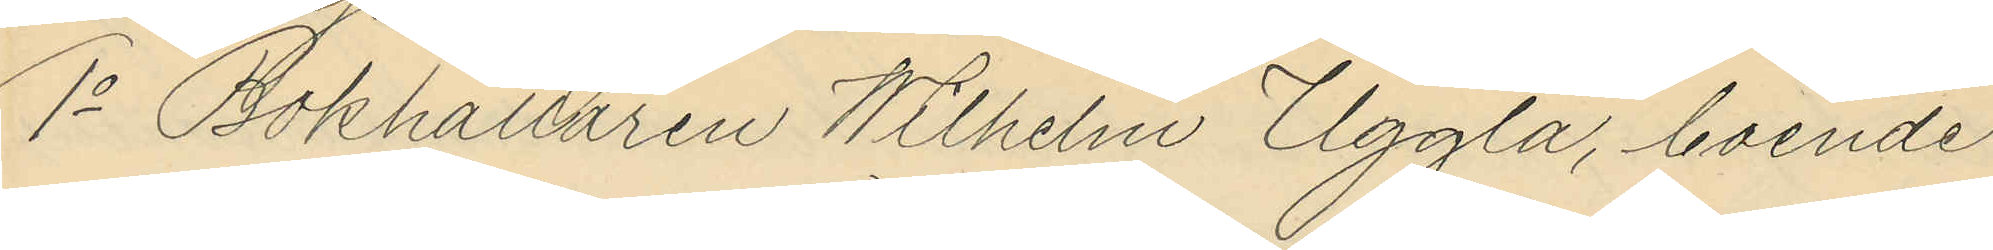1o Bokhållaren Wilhelm Uggla, boende
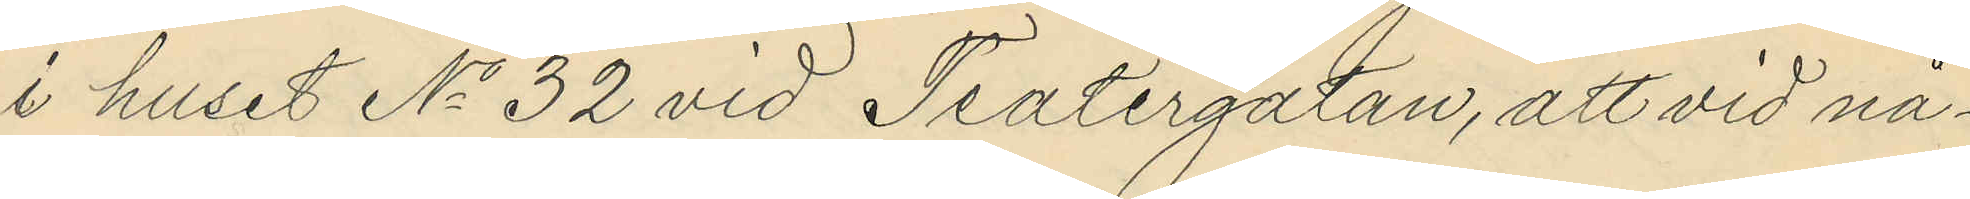i huset No 32 vid Teatergatan, att vid nå¬
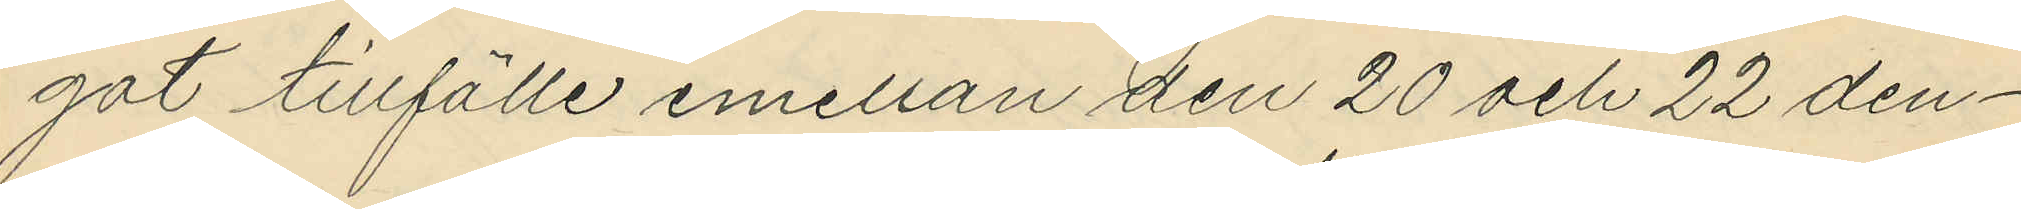got tillfälle emellan den 20 och 22 den¬
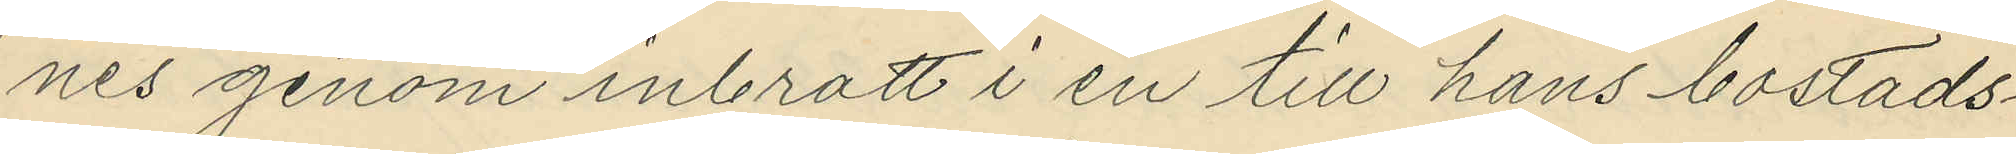nes genom inbrott i en till hans bostads¬
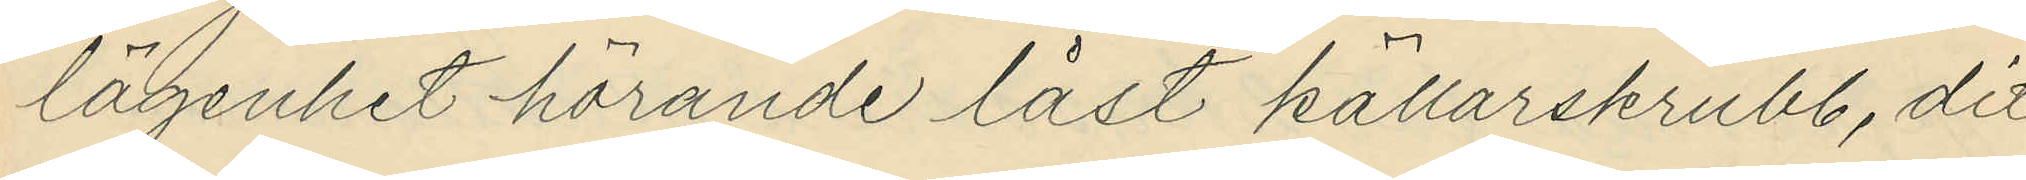lägenhet hörande låst källarskrubb, dit
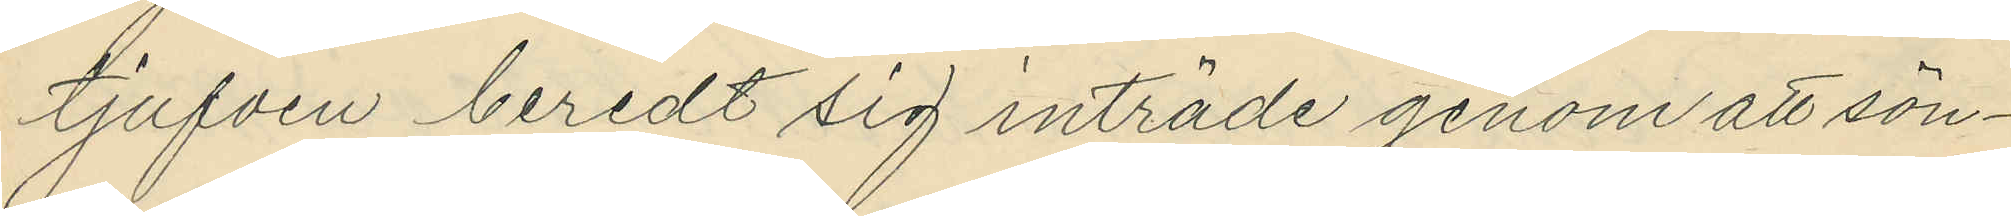tjufven beredt sig inträde genom att sön¬
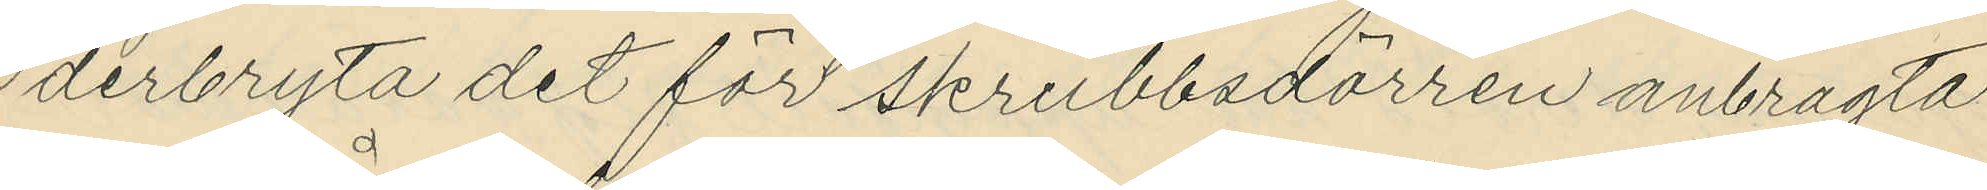derbryta det för skrubbsdörren anbragta
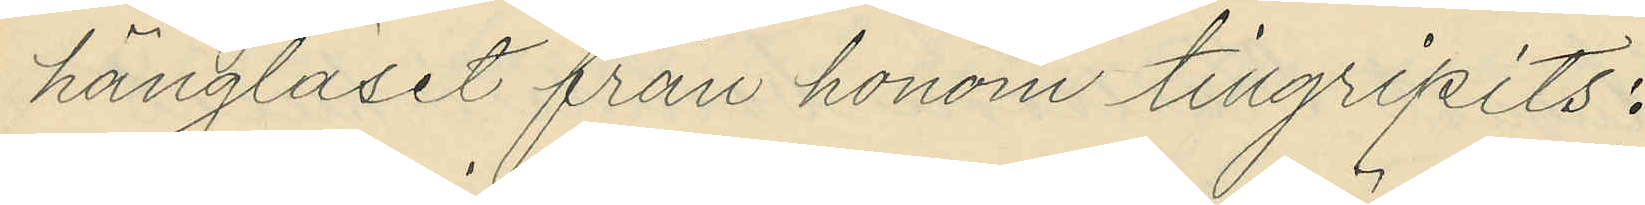hänglåset från honom tillgripits:
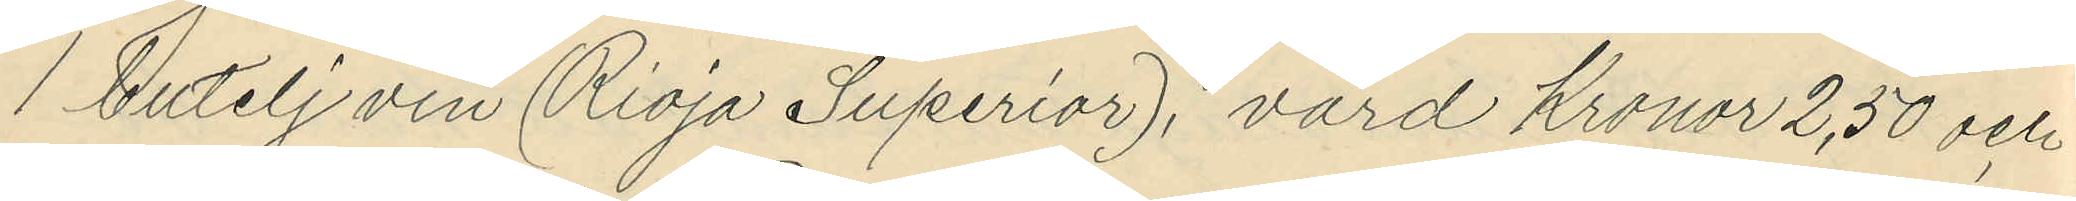1 butelj vin (Rioja Superior), värd Kronor 2,50 och
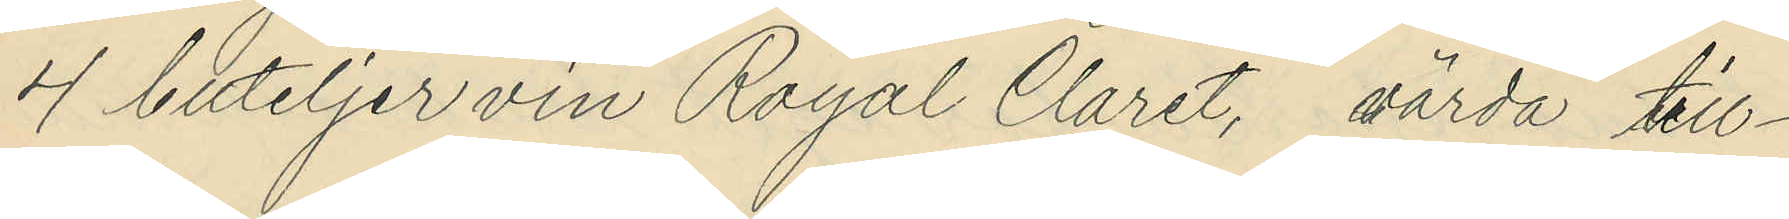4 buteljer vin Royal Claret, värda till¬
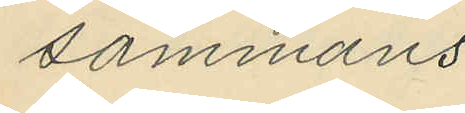sammans
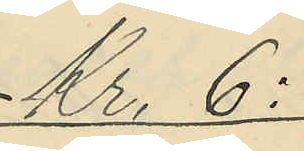Kr. 6:
